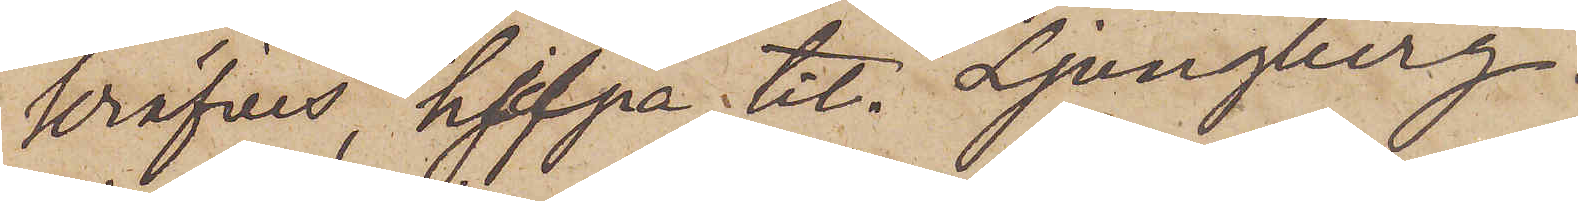kräfves, hjelpa till Ljungberg.
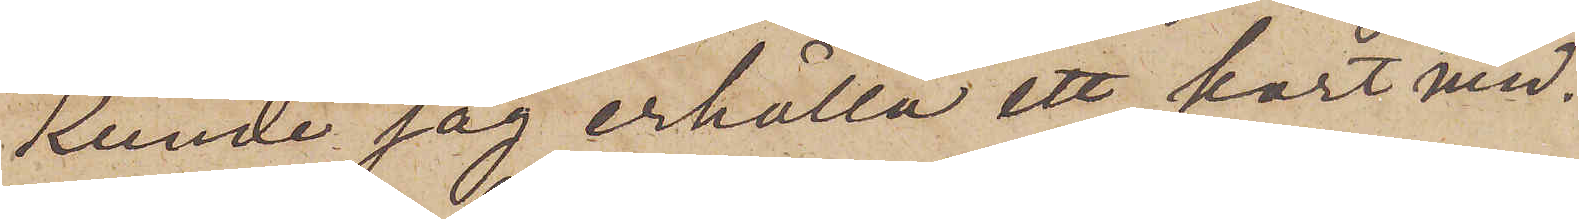Kunde jag erhålla ett kort med¬
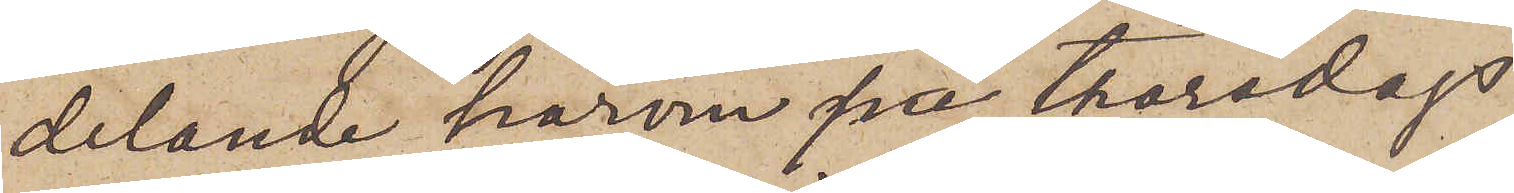delande härom på Thorsdags
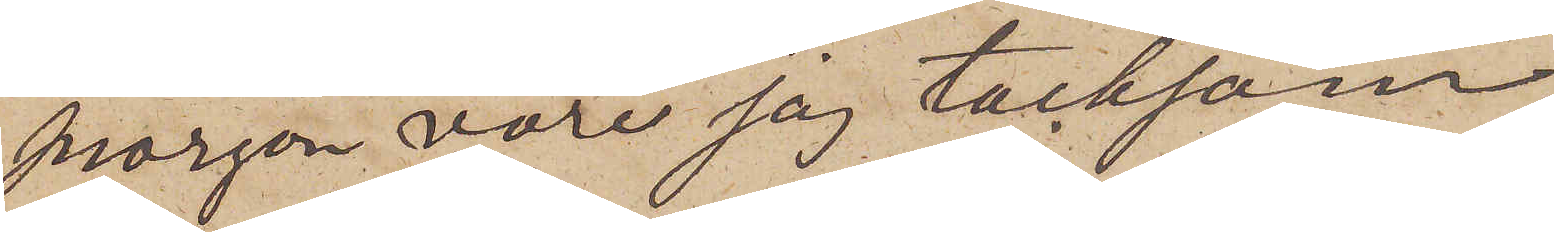morgon vore jag tacksam.
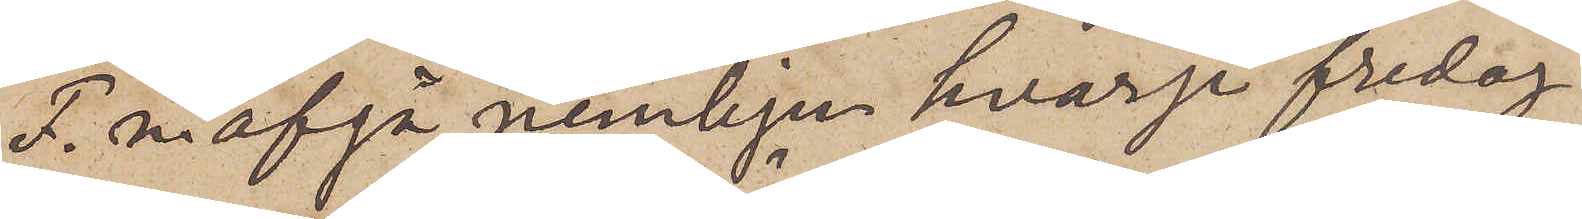F.n. afgå nemlige hvarje fredag
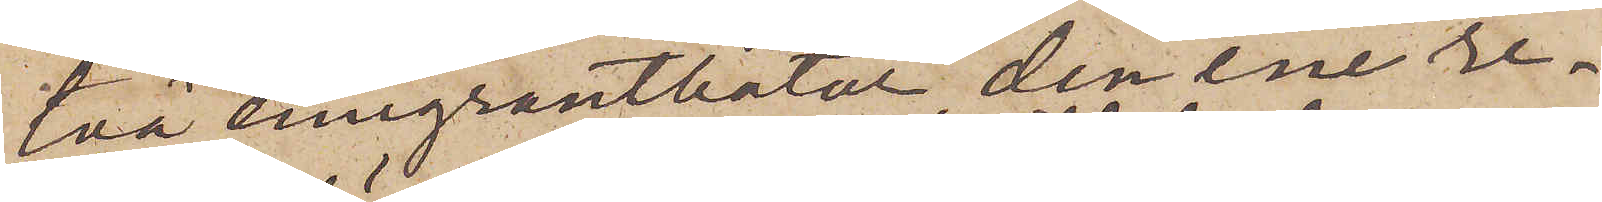två emigrantbåtar, den ene re¬
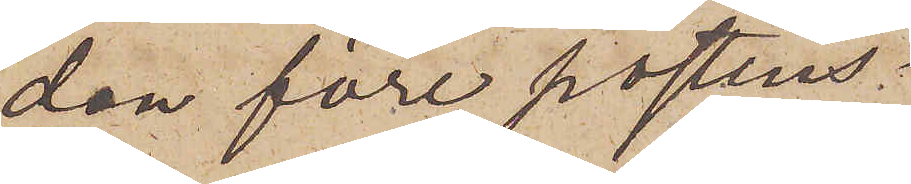dan före postens
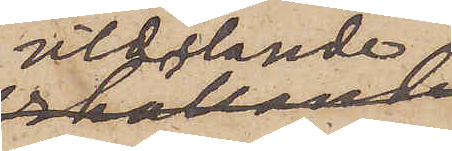utdelande
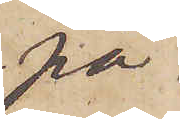på
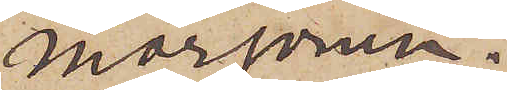morgonen.
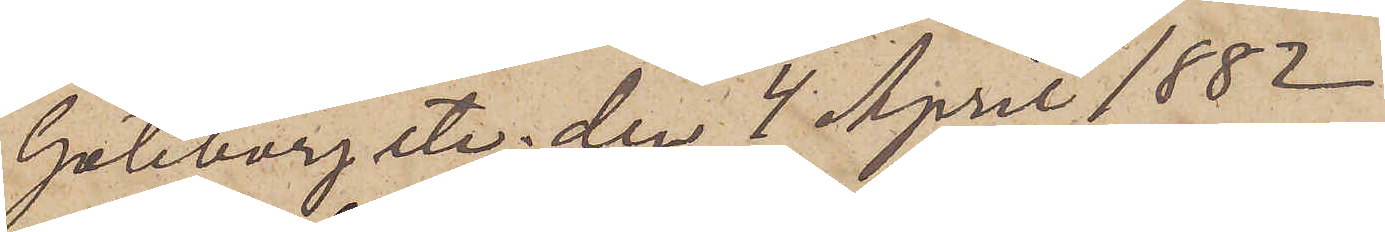Göteborg etc. den 4 April 1882.
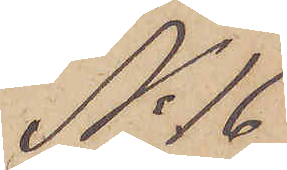No 16
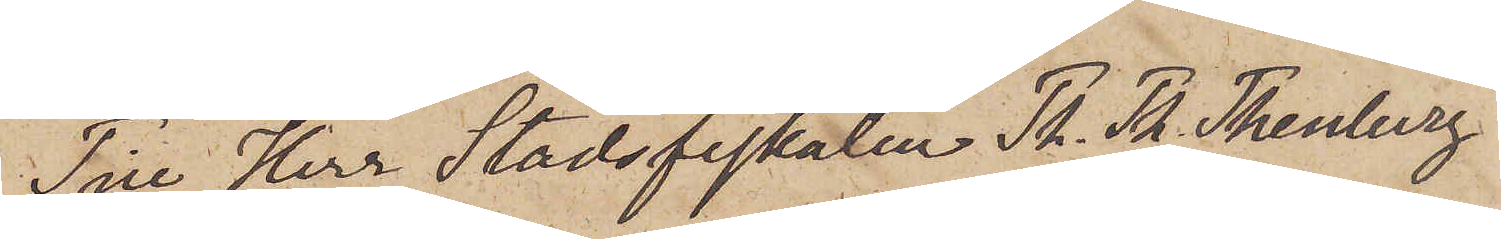Till Herr Stadsfiskalen Th. Th. Thenberg
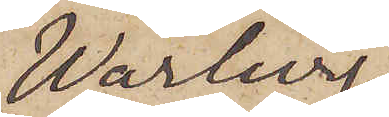Warberg
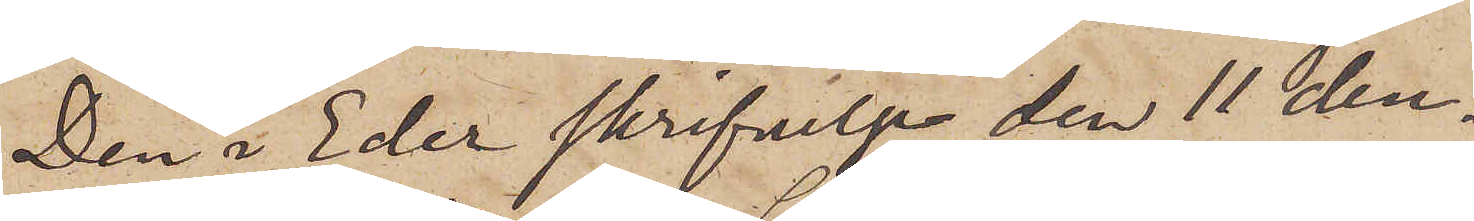Den i Eder skrifvelse den 11 den¬
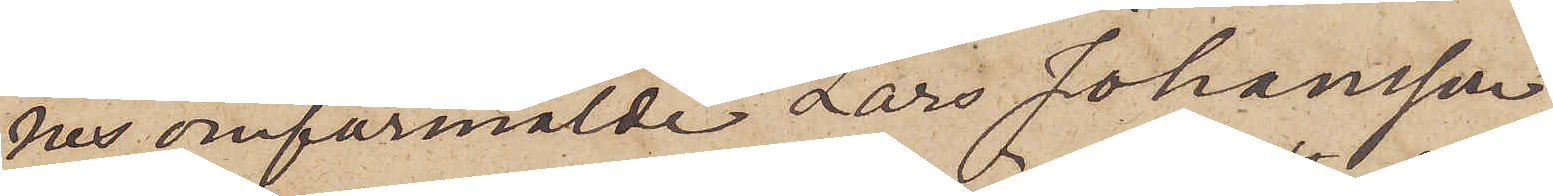nes omförmälde Lars Johansson
